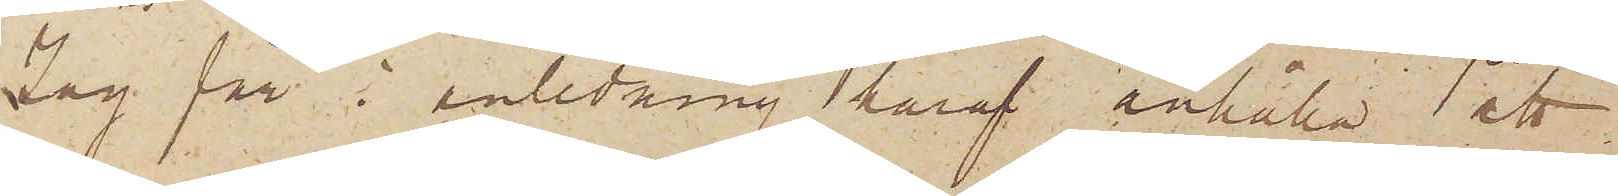Jag får i anledning häraf anhålla att
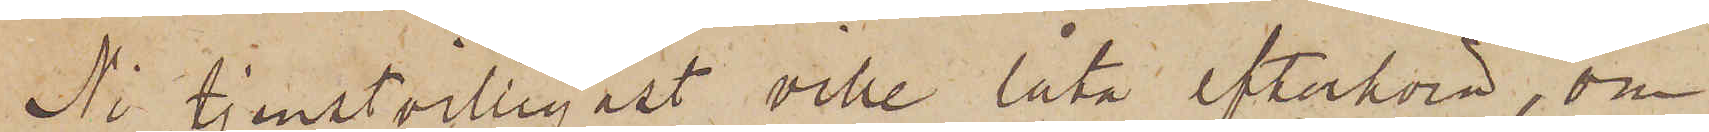Ni tjenstvilligast ville låta efterhöra, om
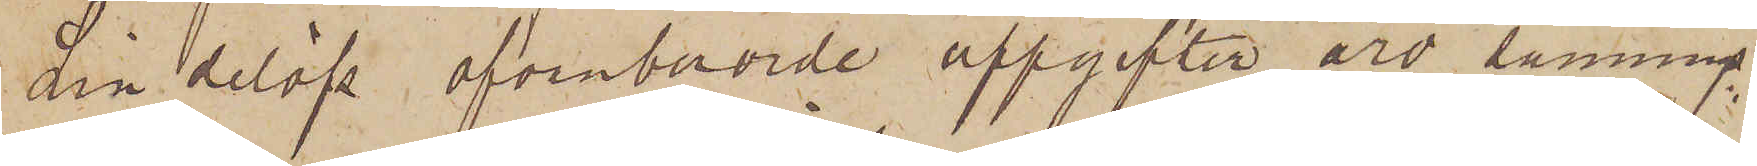Lindelöfs ofvanberörde uppgifter äro sannings¬
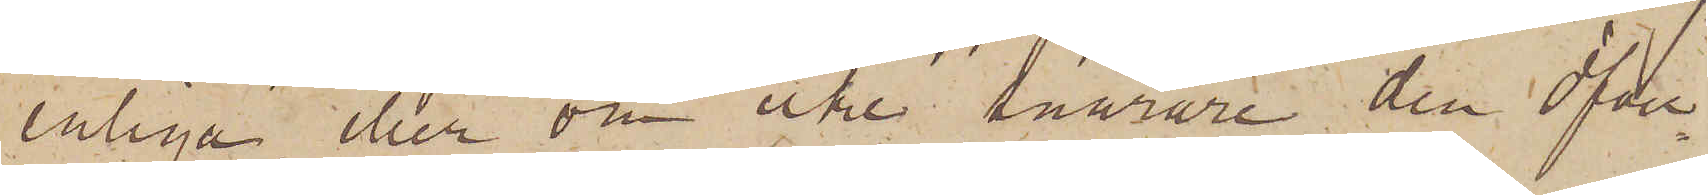enliga eller om icke snarare den Öfver¬
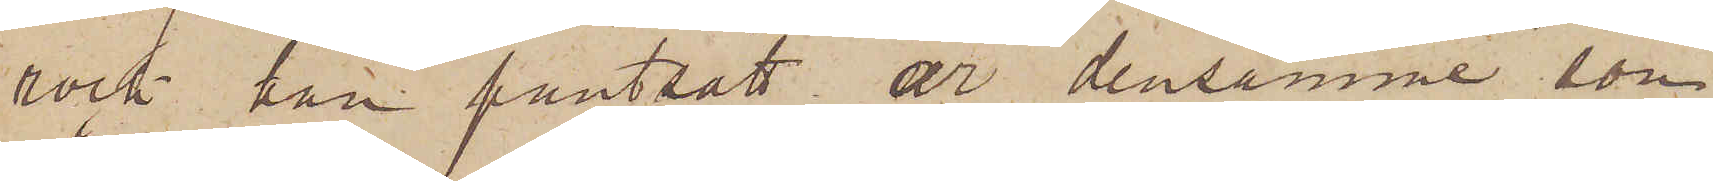rock han pantsatt är densamme, som
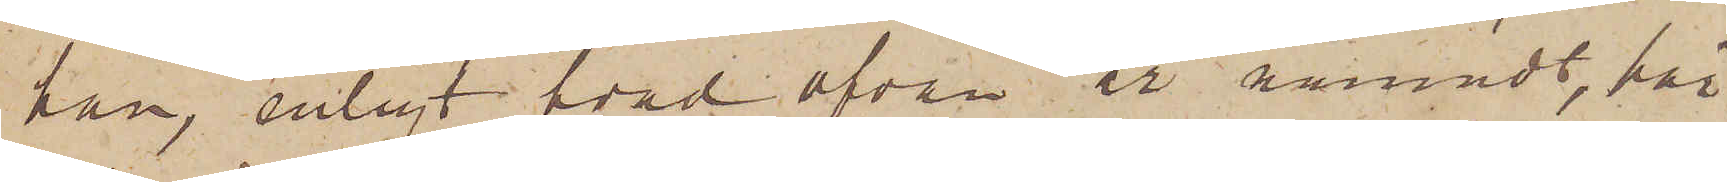han, enligt hvad ofvan är nämndt, här
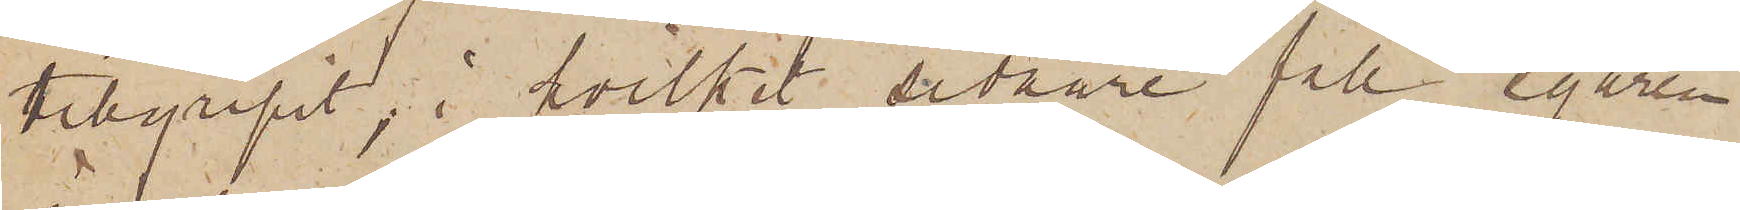tillgripit; i hvilket sednare fall egaren
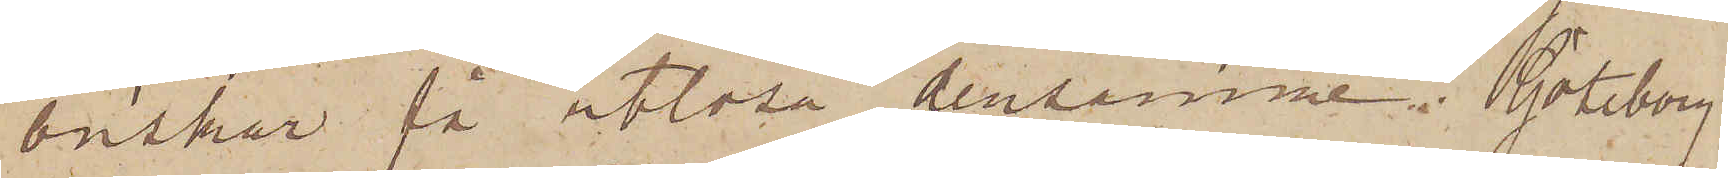önskar få utlösa densamme. Göteborg
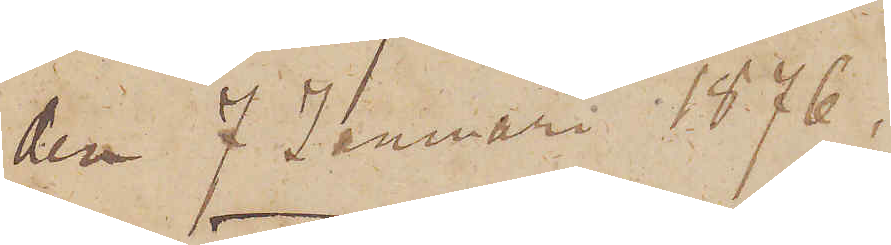den 7 Januari 1876.
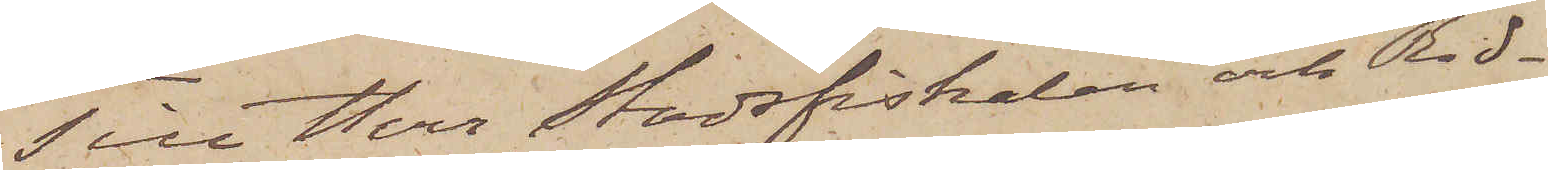Till Herr Stadsfiskalen och Rid¬
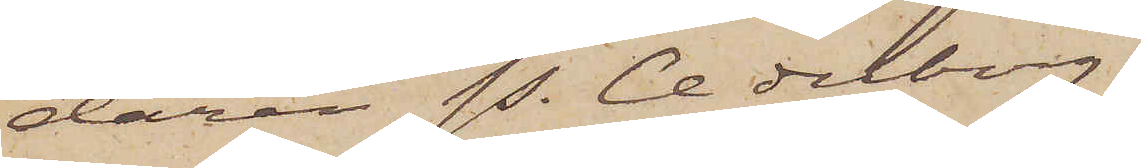daren P. Cederborg.
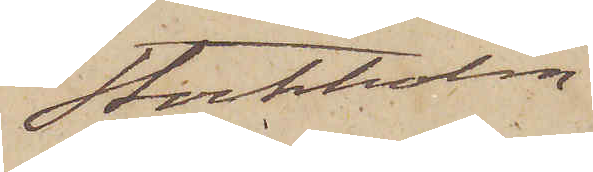Stockholm
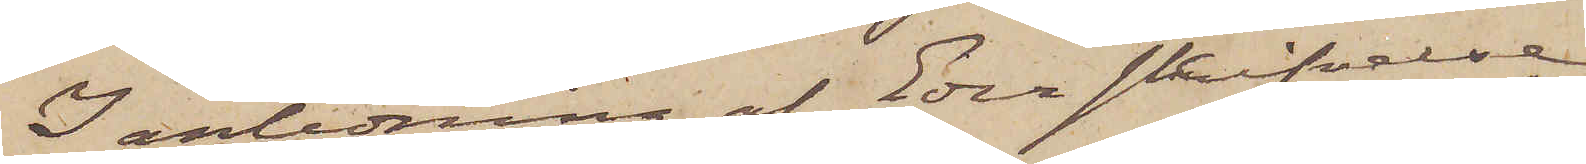I anledning af Eder skrifvelse
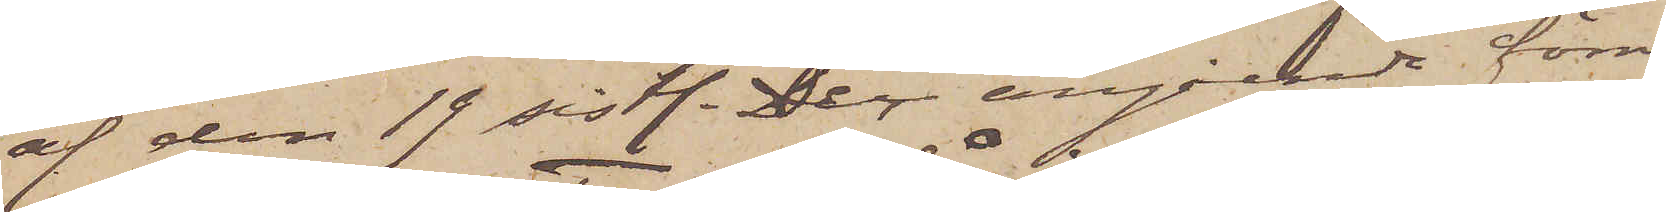af den 19 sistl. Dec angående förre
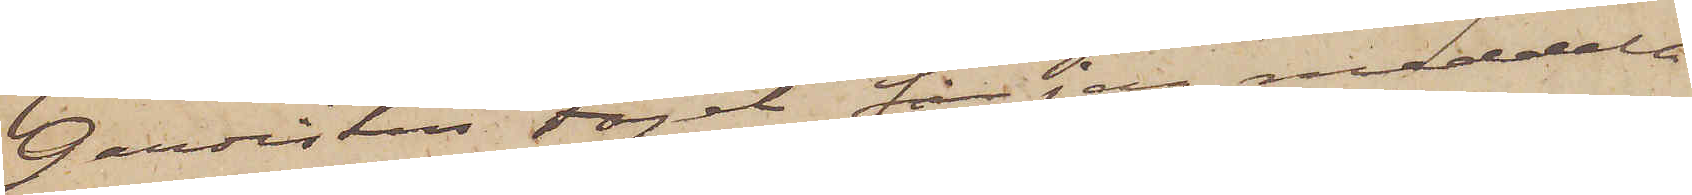Gardisten Fogel får jag meddela
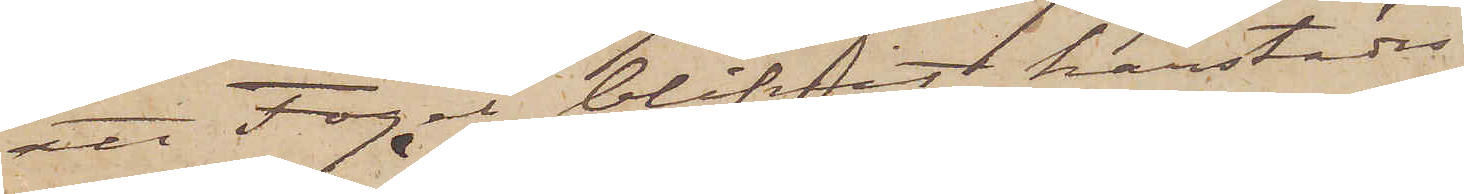att Fogel blifvit härstädes
